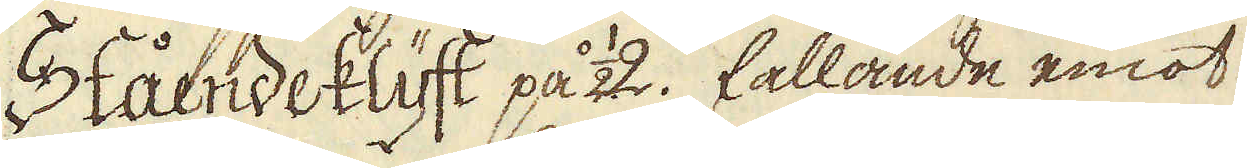Stående klyft på 1/2 2. fallande emot
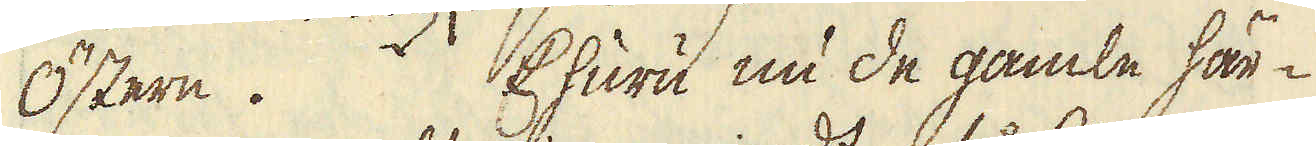Östern. Ehuru nu de gamle här-
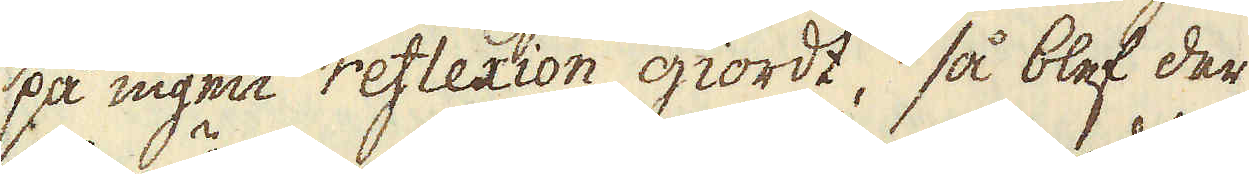på ingen reflexion giordt, så blef der
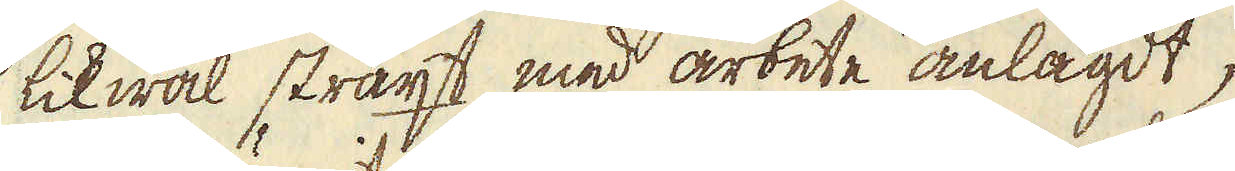likwäl straxt med arbete anlagdt,
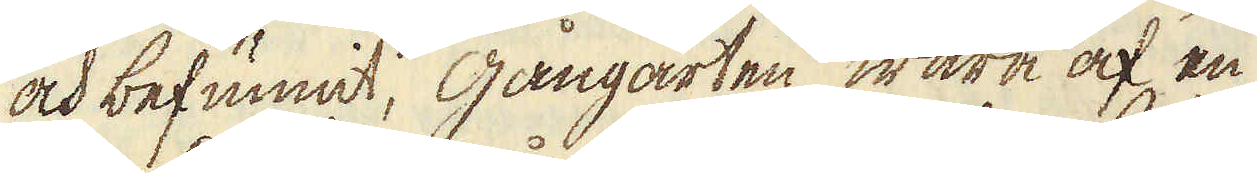och befunnit, gångarten wara af en
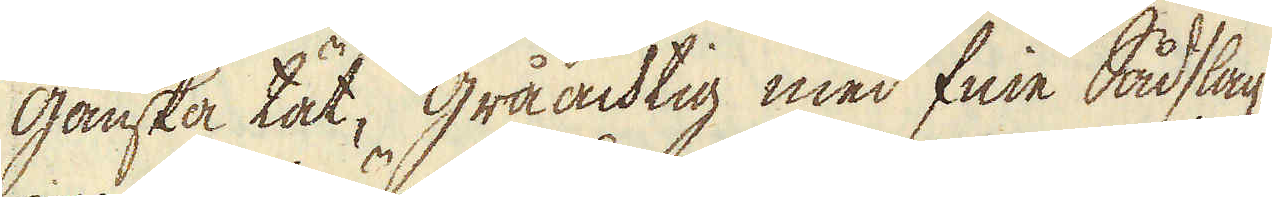ganska tät, gråachtig med fine Sådslag
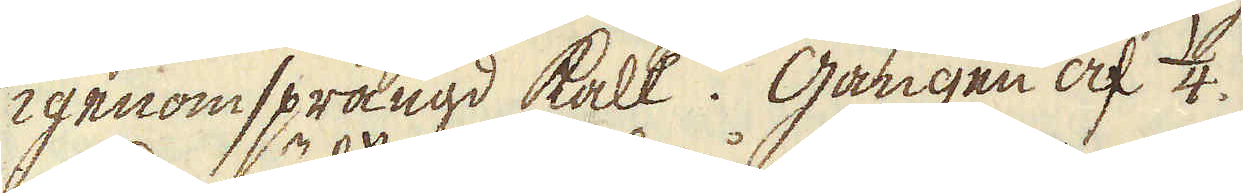igenomsprängd kalk. Gången af 1/4.
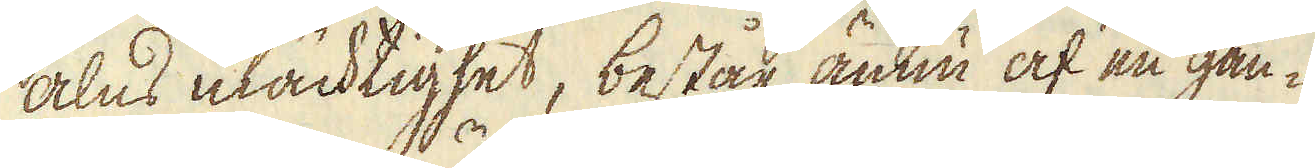alns mächtighet, består ännu af en gan-
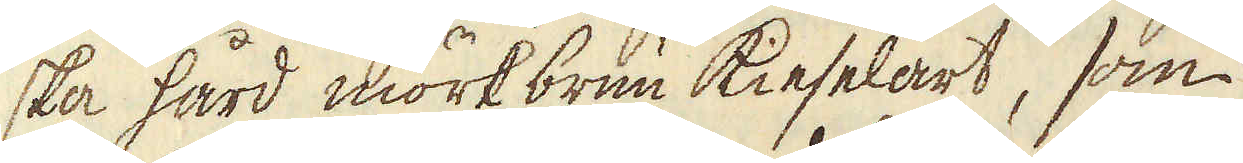ska hård mörkbrun kieselart, som
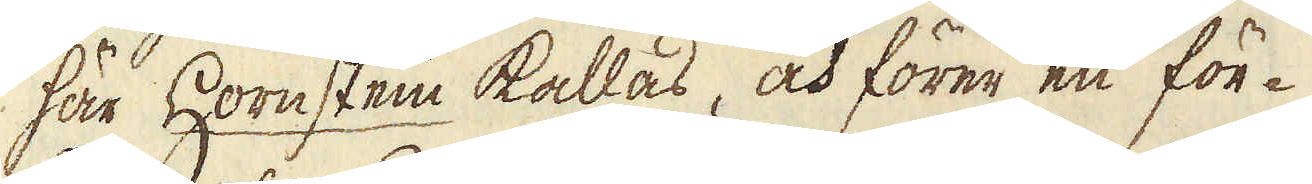här Hornstein kallas, och förer en för-
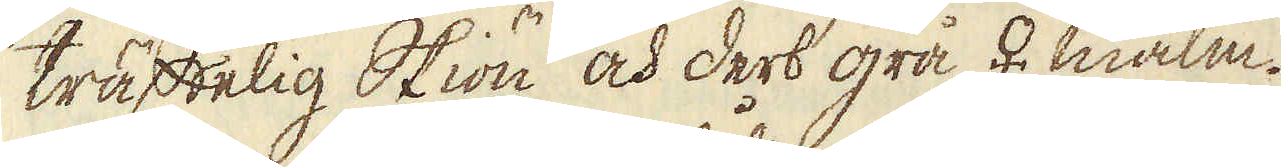träffelig Skiön och derb grå ♀ malm.
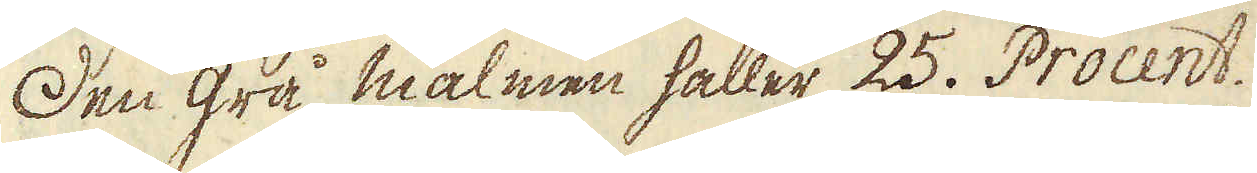Den grå malmen håller 25. Procent.
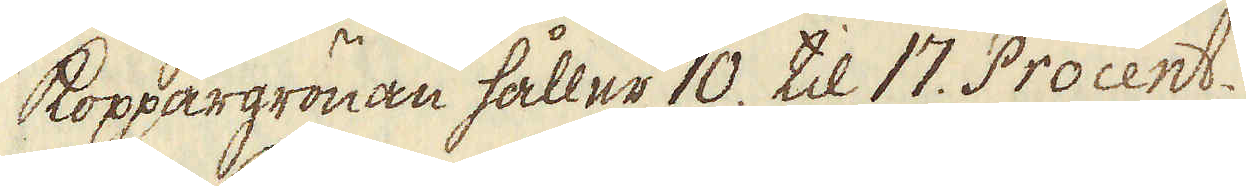Koppargrönan håller 10. til 17. Procent.
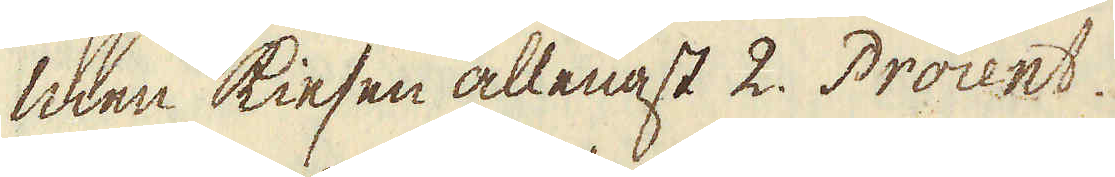men kiesen allenast 2. Procent.
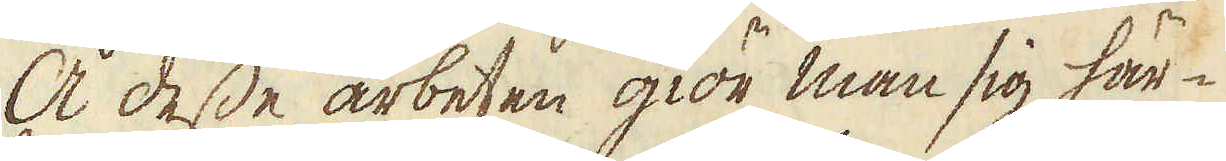Å desse arbeten giör man sig här-
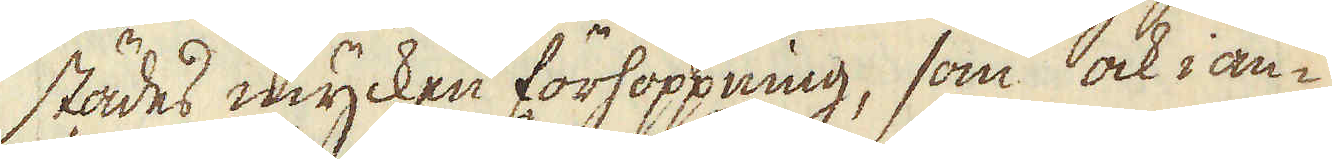städes mycken förhoppning, som ock i an-
